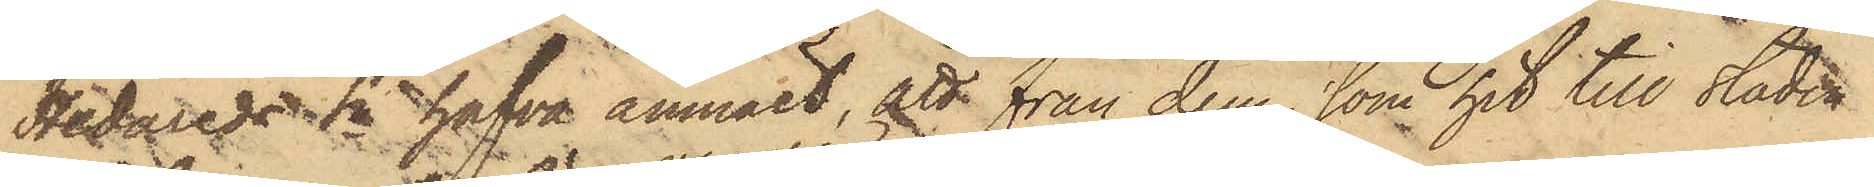Hedareds Sn hafva anmält, att från dem, som hit till staden
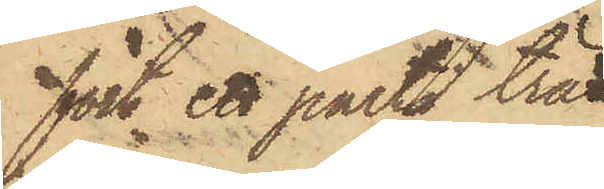fört ett parti träd¬
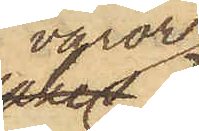varor
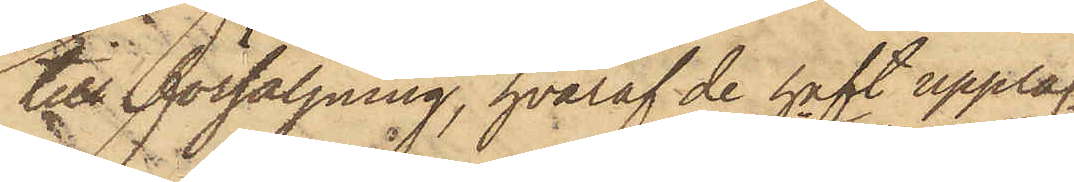till försäljning, hvaraf de haft upplag
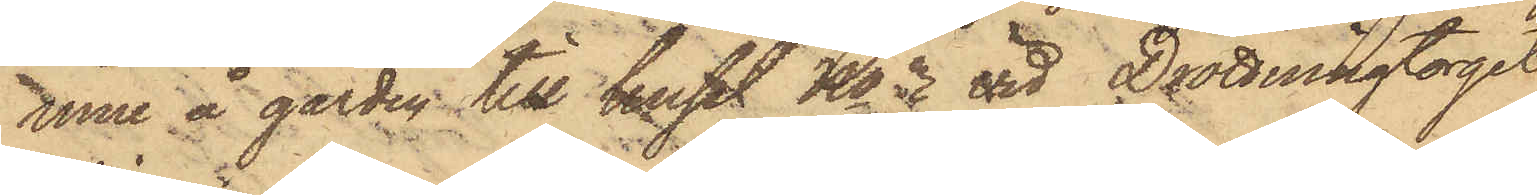inne å gården till huset No 3 vid Drottningtorget,
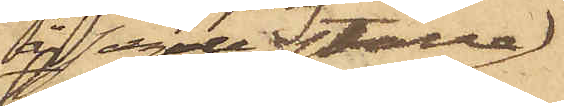 å sagde ställe
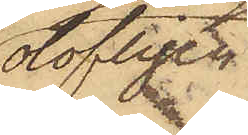olofligen
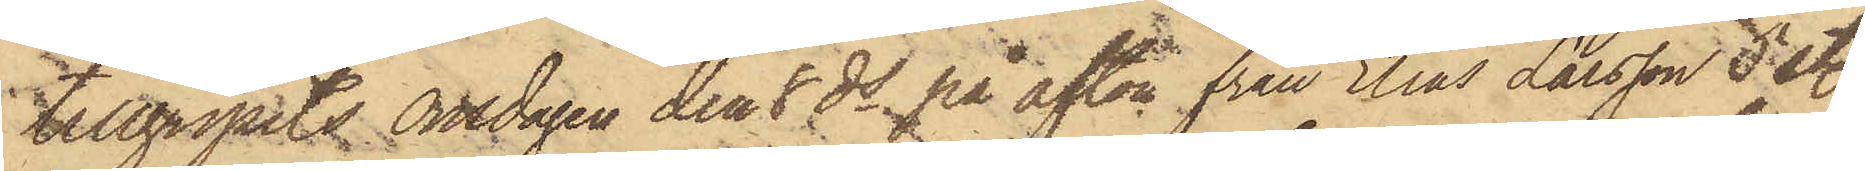tillgripits onsdagen den 8 ds på afton från Elias Larsson 5 st.
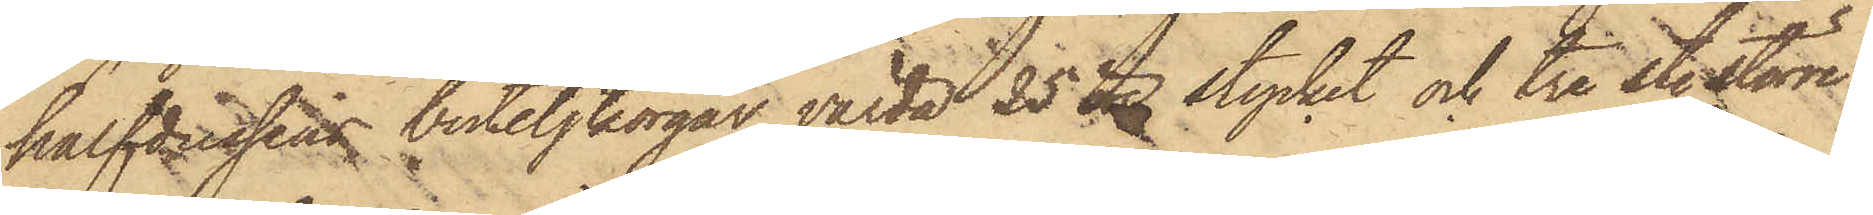halfdussin buteljkorgar värda 25 öre stycket och tre st. större
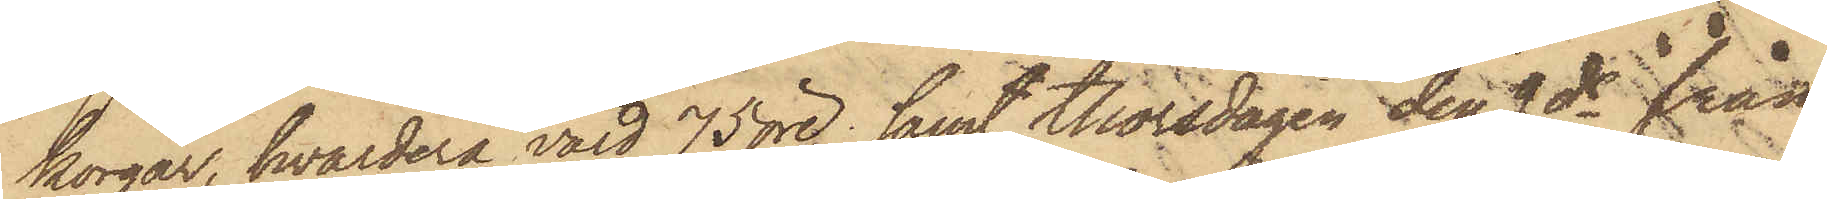korgar, hvardera värd 75 öre; samt thorsdagen den 9 ds från
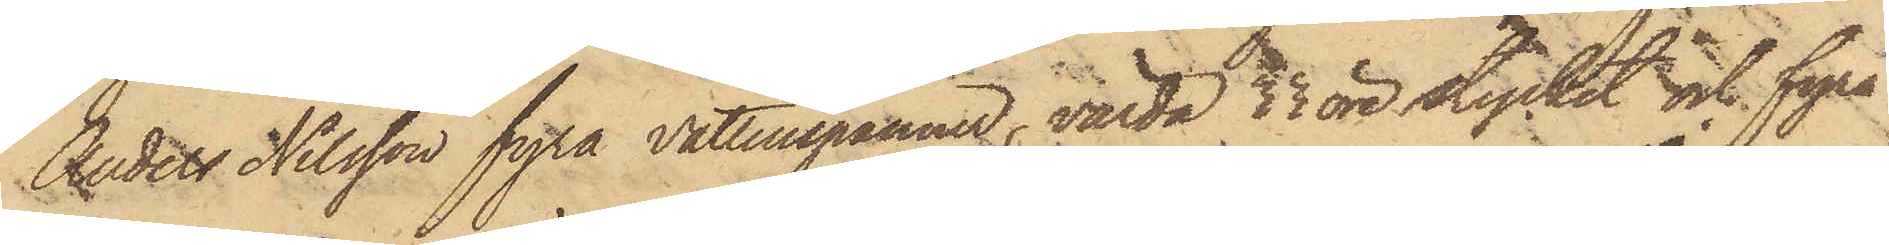Anders Nilsson fyra vattenspänner, värda 33 öre stycket och fyra
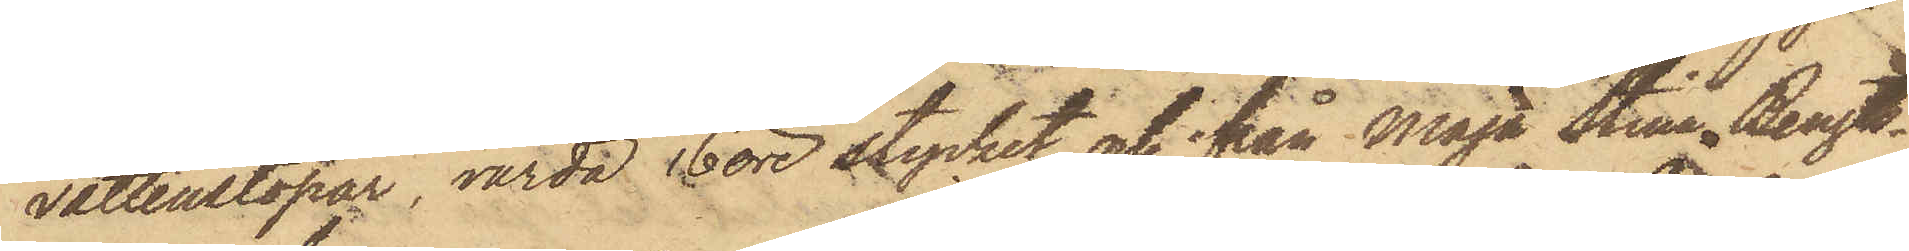vattenstopar, värda 16 öre stycket och ifrån Maja Stina Bengts¬
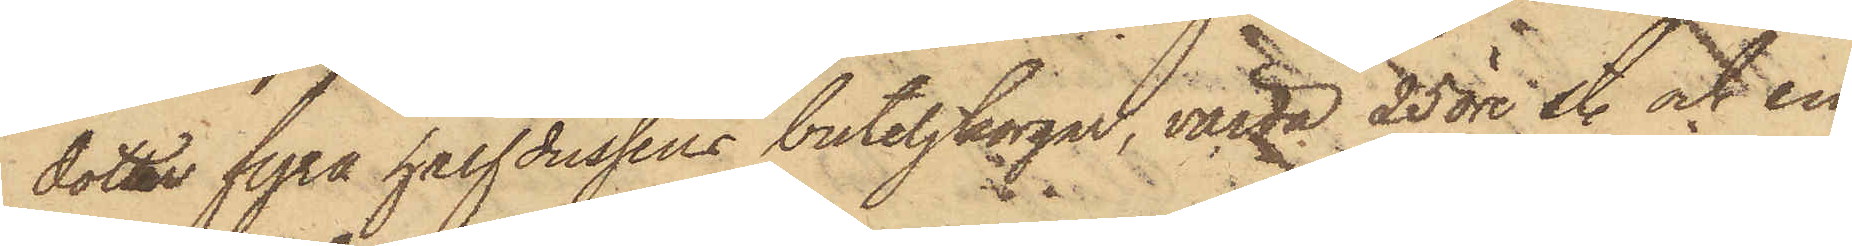dotter fyra halfdussin buteljkorgar, värda 25 öre st. och en
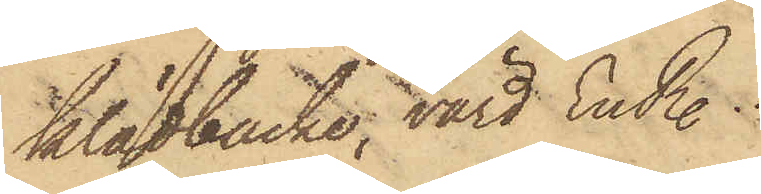klädbacke, värd En R.
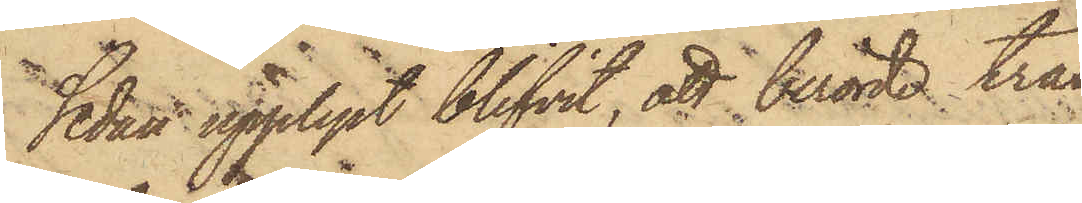Sedan upplyst blifvit, att berörda trä¬
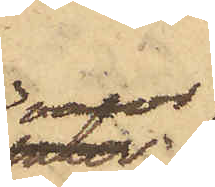varor
